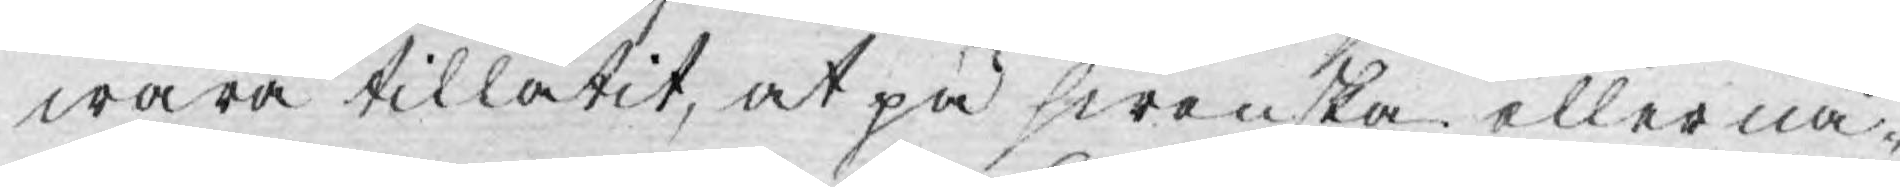wara tillåtit, at på swenska eller nå¬
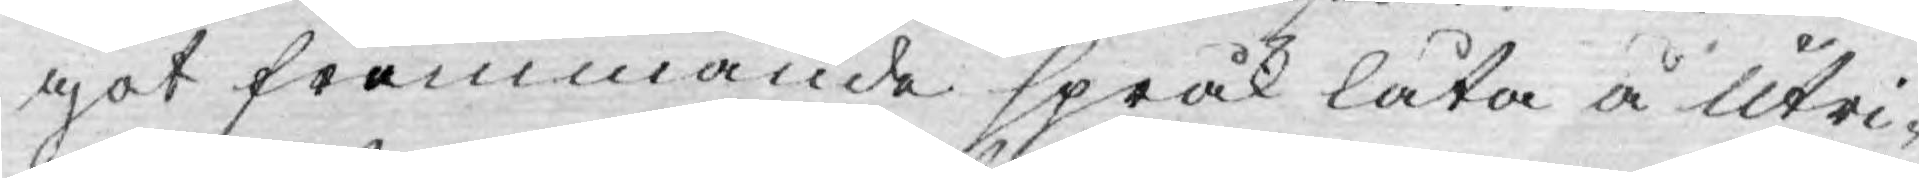got främmande språk låta å utri¬
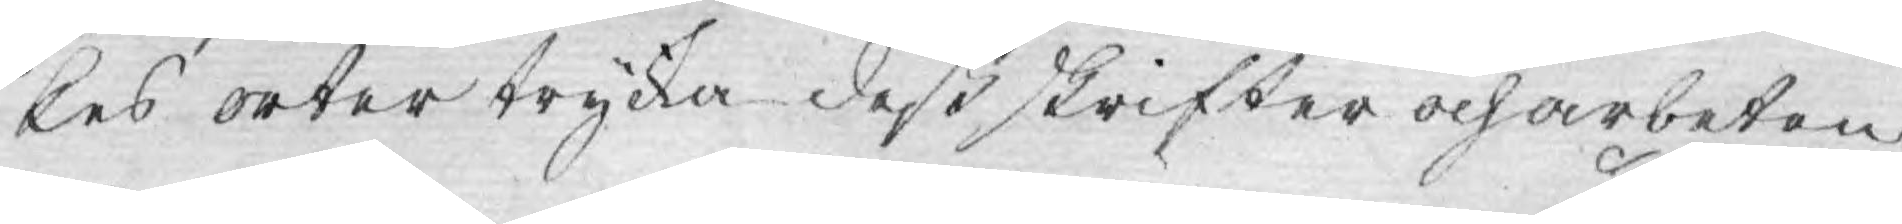kes orter trycka deß skrifter och arbeten
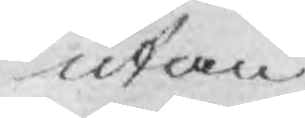utan
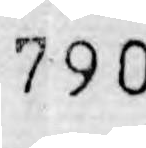790
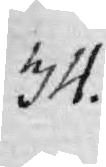34.
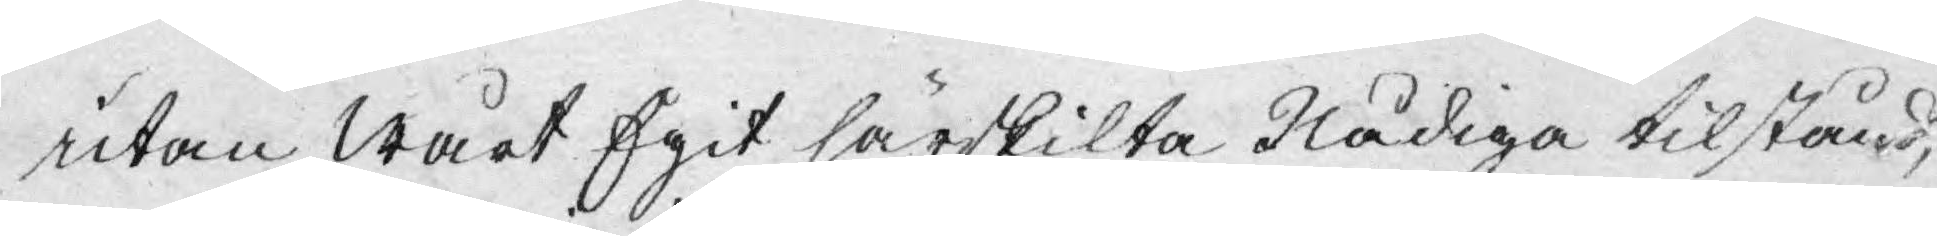utan Wårt Egit särskilta Nådiga tilstånd,
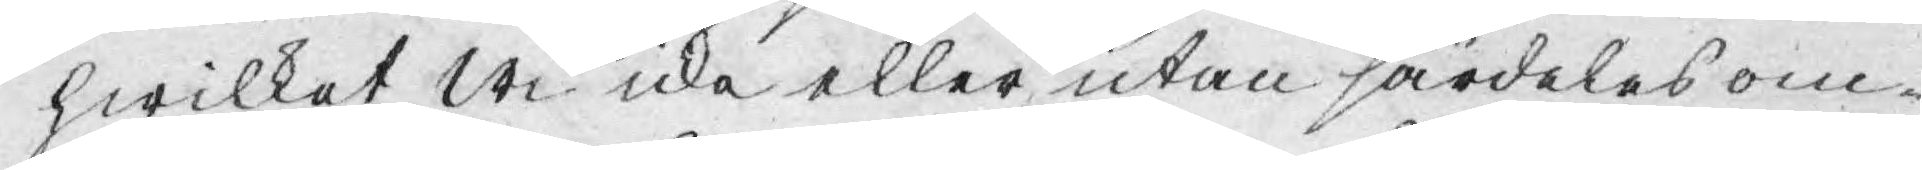hwilket wi icke eller utan särdeles om¬
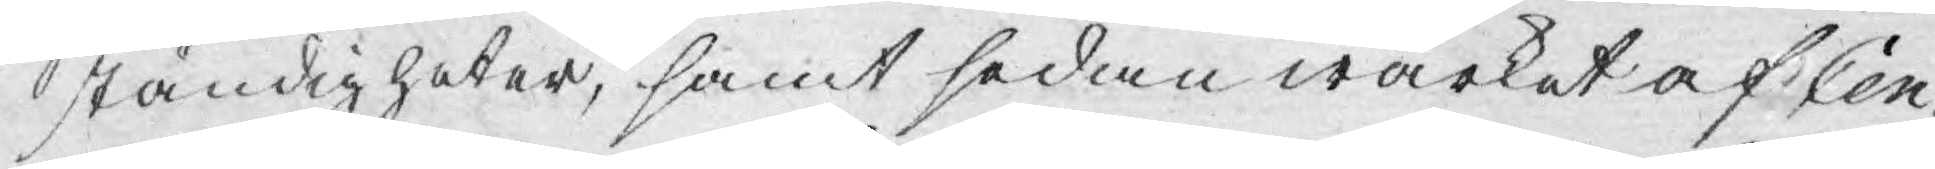ständigheter, samt sedan wärket af Cen¬
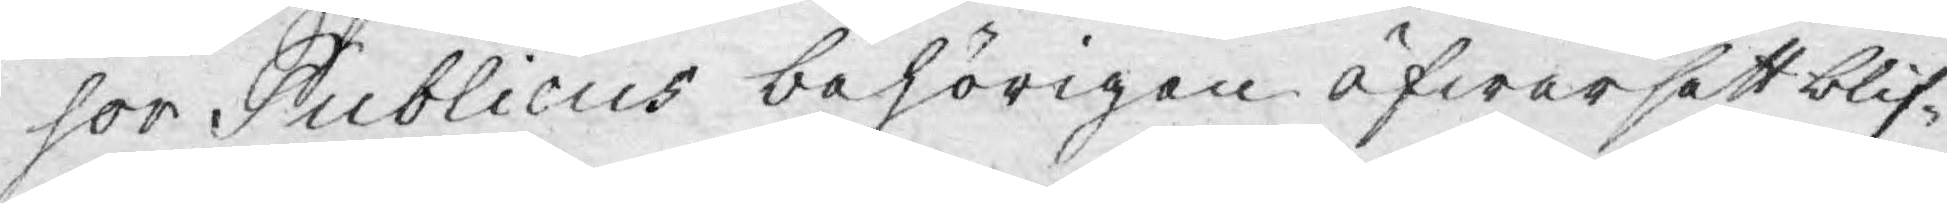sor Publicus behörigen öfwersatt blif¬
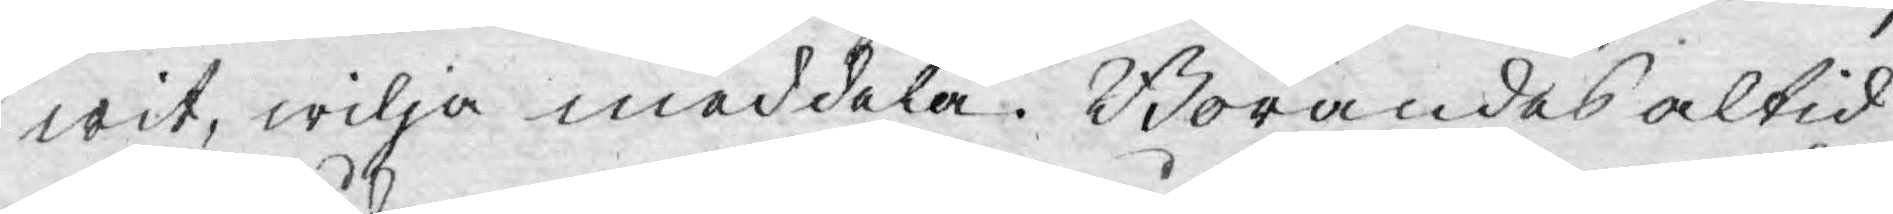wit, wilja meddela. Börandes altid
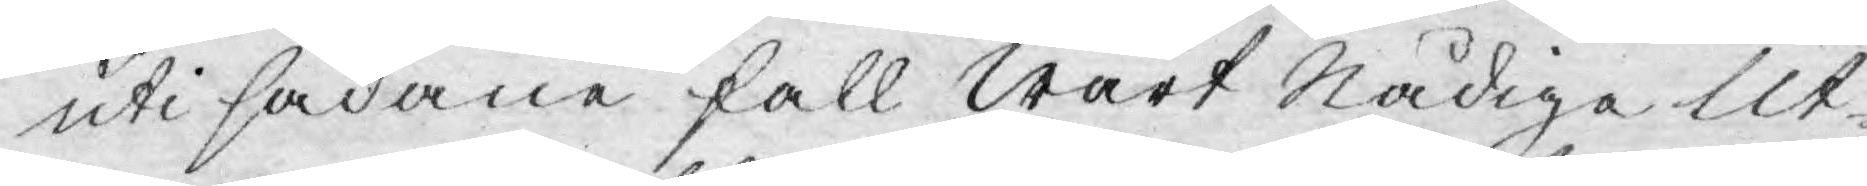uti sådane fall Wårt Nådiga Ut¬
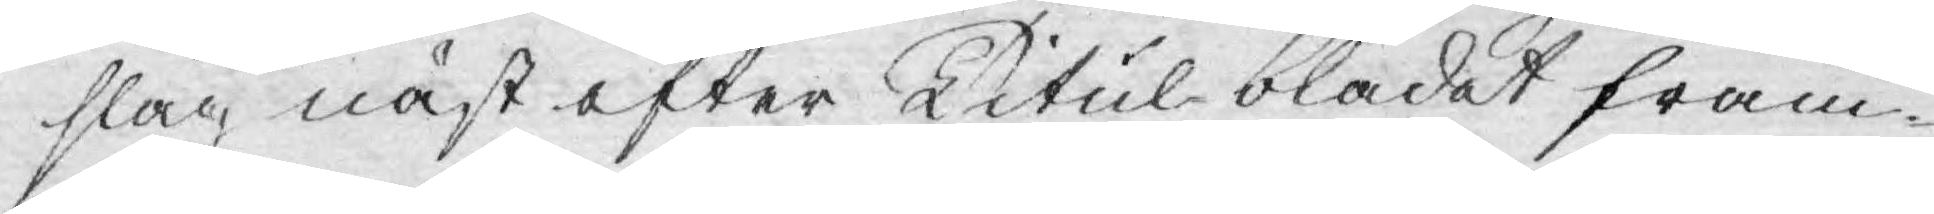slag näst efter Titul-bladet fram¬
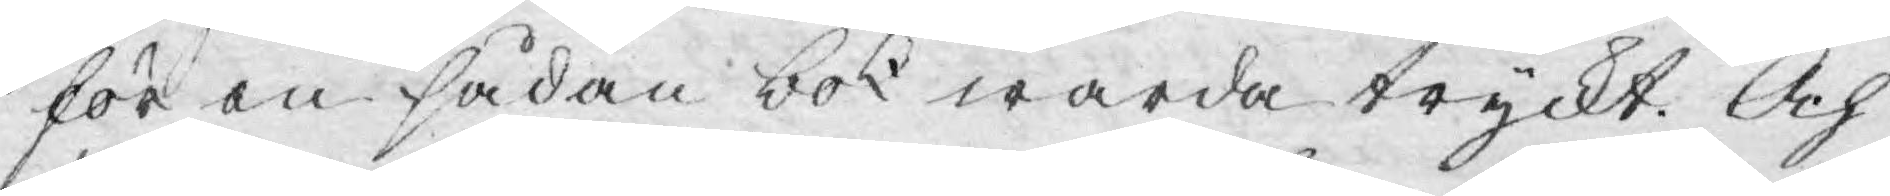för en sådan bok warda tryckt. Och
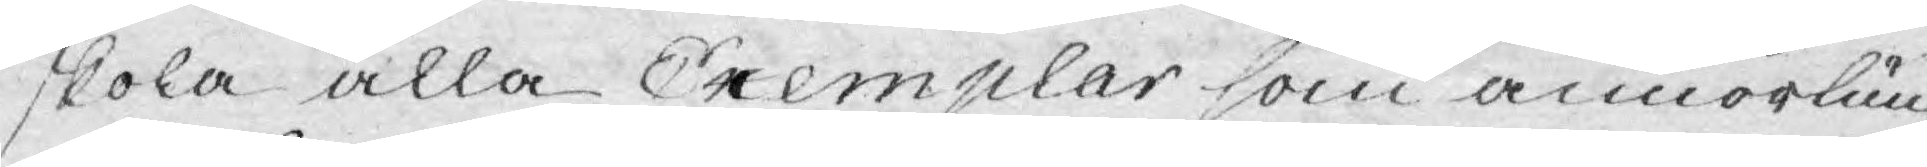skola alla Exemplar som annorlun¬
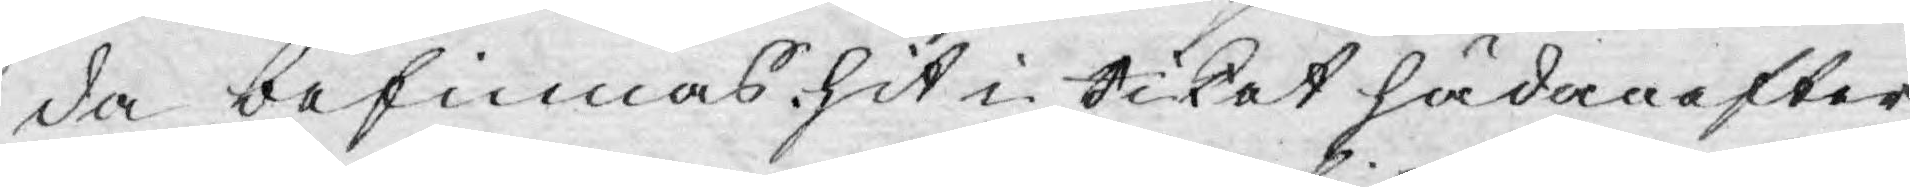da befinnas hit i Riket hädanefter
